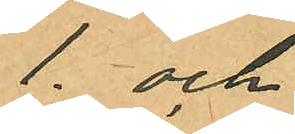1. och
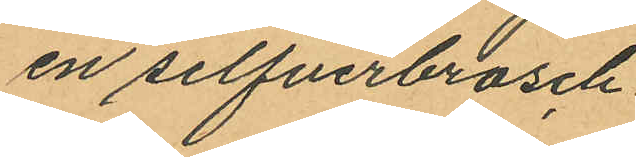en silfverbrosch
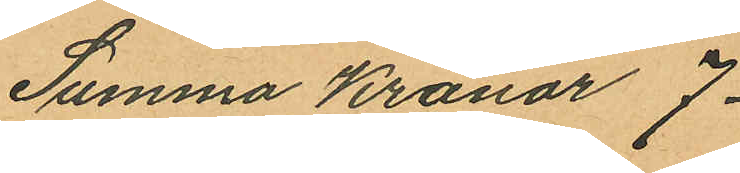Summa Kronor 7
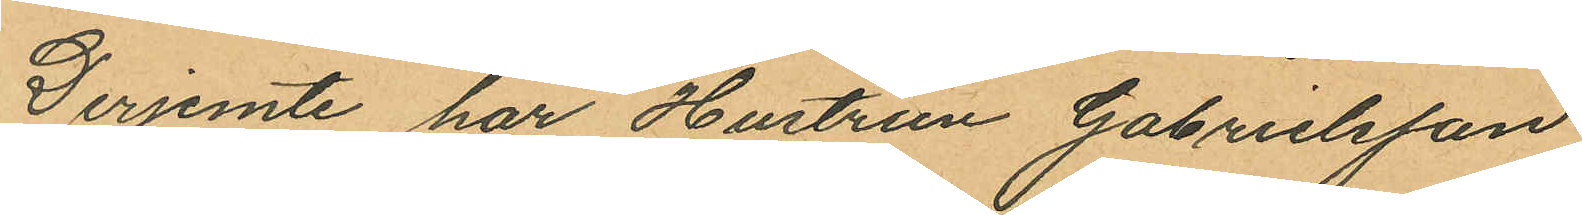Derjemte har Hustrun Gabrielsson
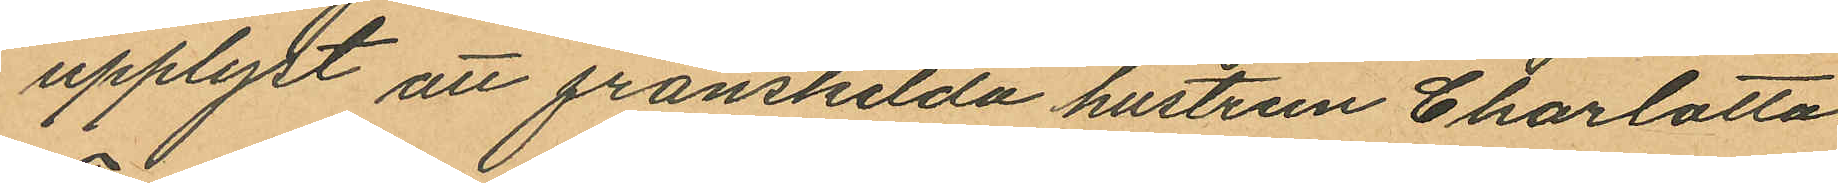upplyst att frånskilda hustrun Charlotta
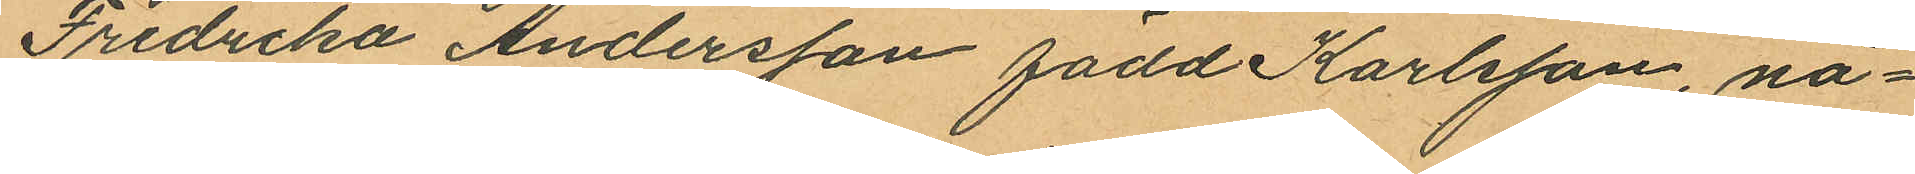Fredrika Andersson född Karlsson, nå¬
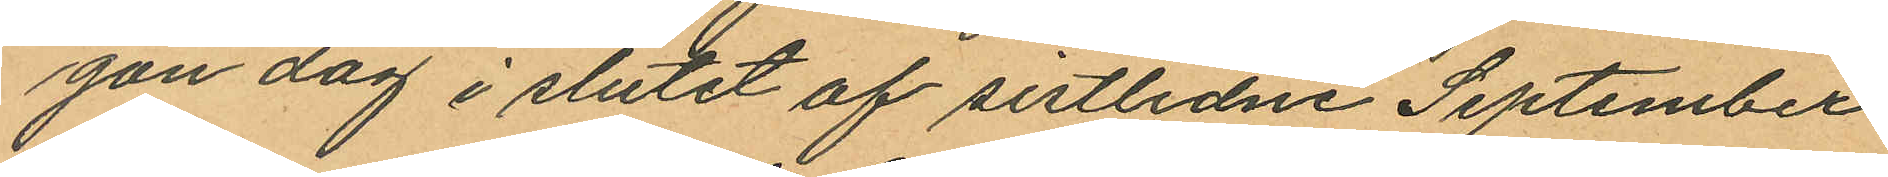gon dag i slutet af sistlidne September
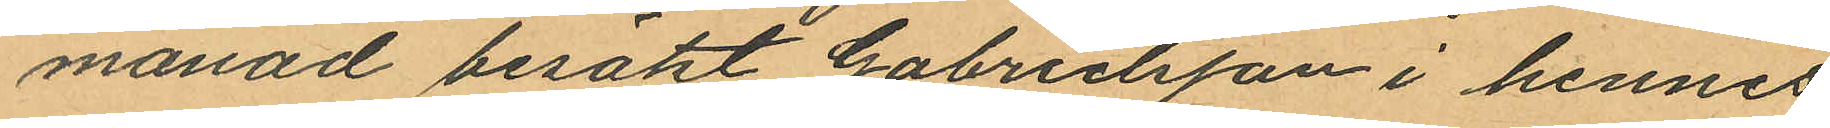månad besökt Gabrielsson i hennes
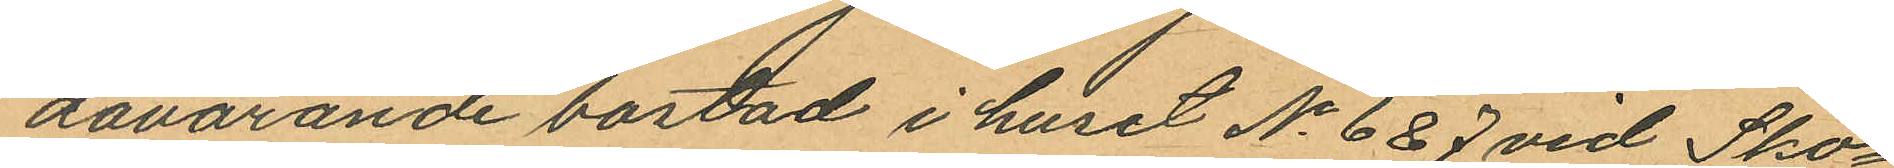dåvarande bostad i huset No 6 & 7 vid Sko¬
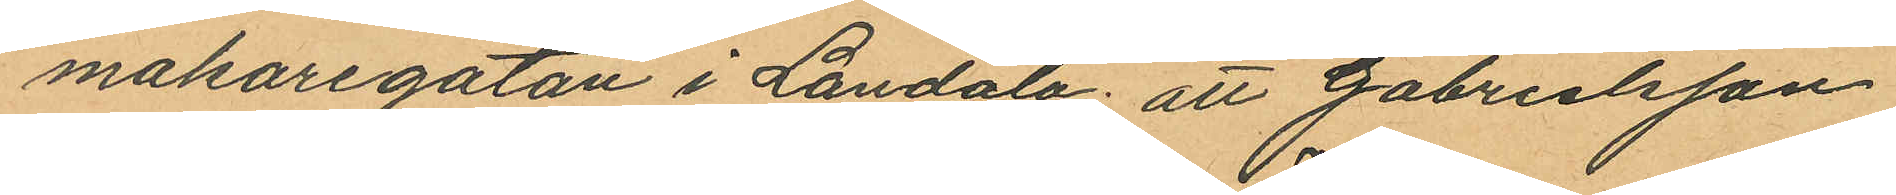makaregatan i Landala; att Gabrielsson
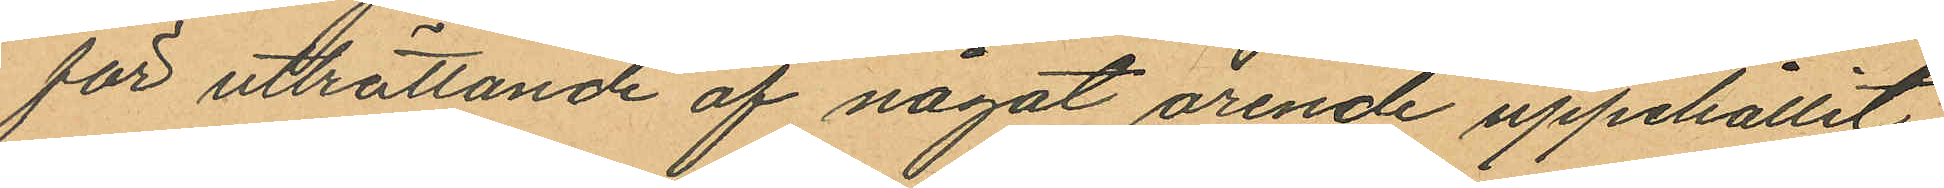för utträttande af något ärende uppehållit
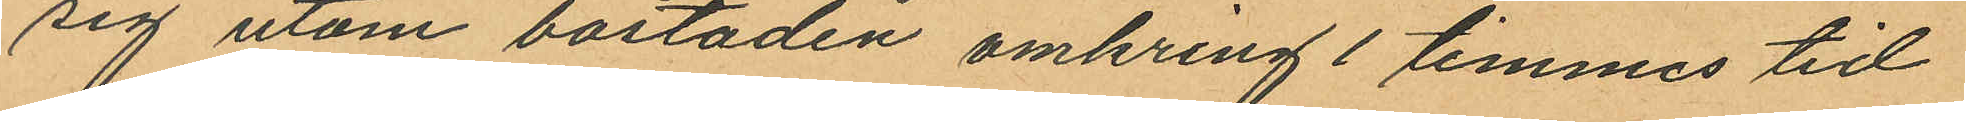sig utom bostaden omkring 1 timmes tid
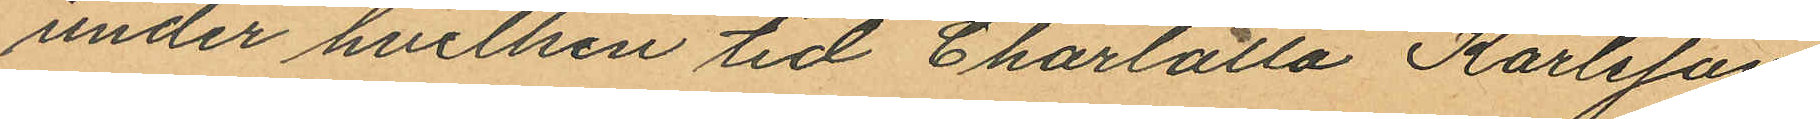under hvilken tid Charlotta Karlsson
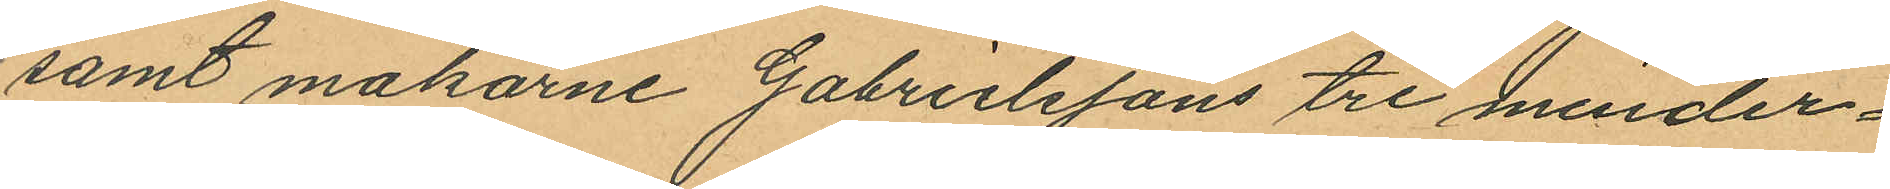samt makarne Gabrielssons tre minder¬
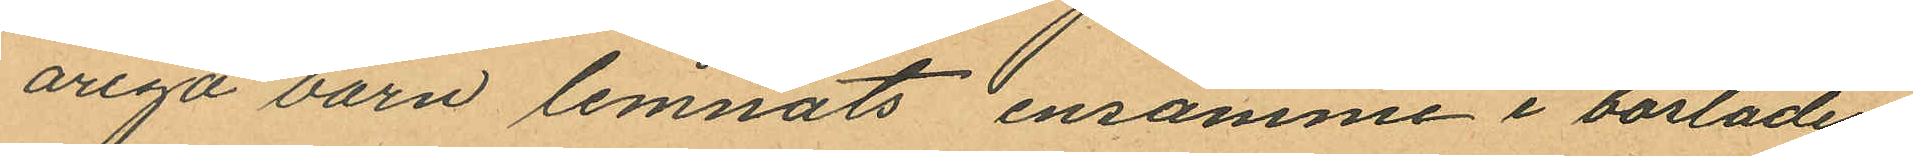åriga barn lemnats ensamme i bostaden
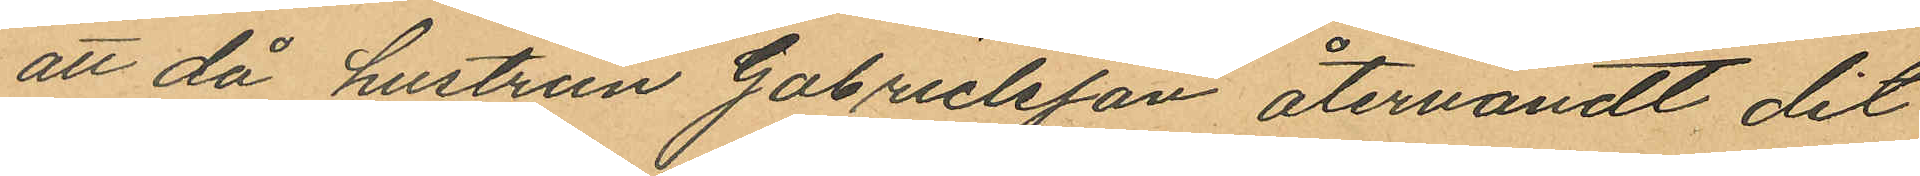att då hustrun Gabrielsson återvändt dit
